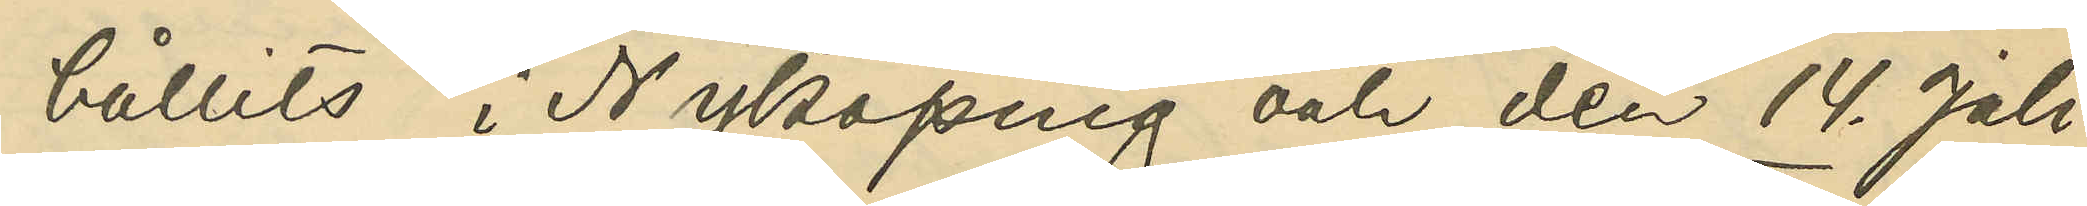hållits i Nyköping och den 14. Juli
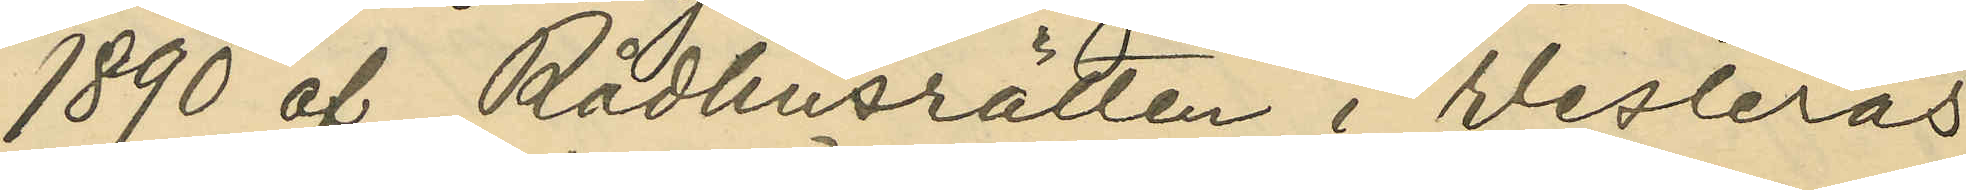1890 af Rådhusrätten i Westerås
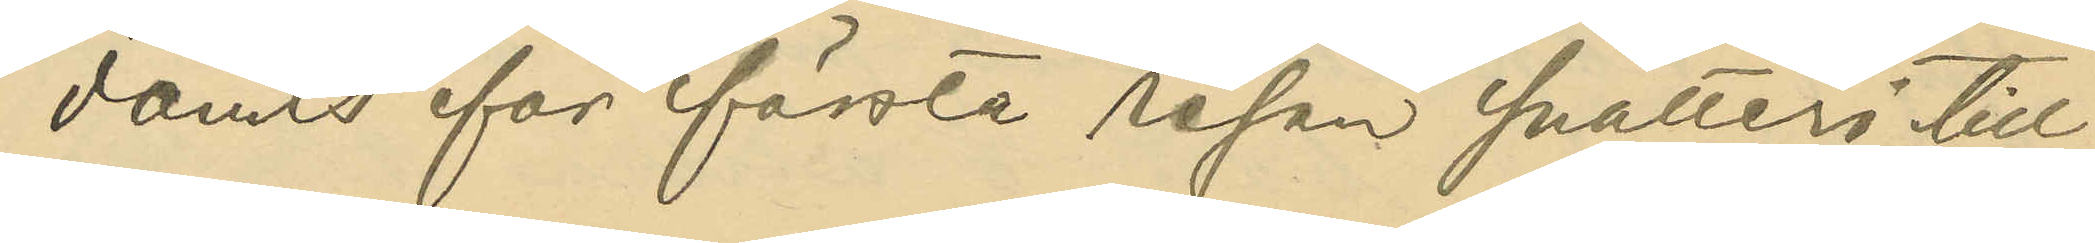dömts för första resan snatteri till
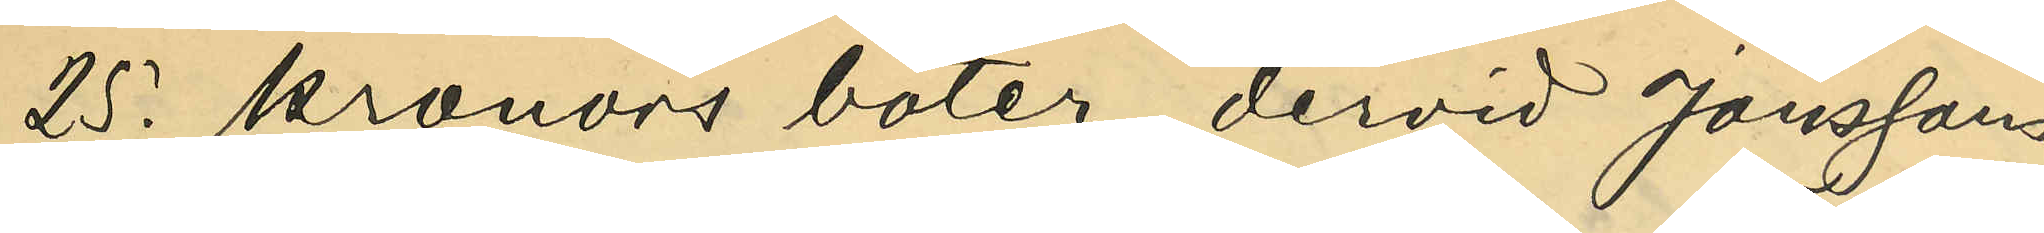25. kronors böter, dervid Jönssons
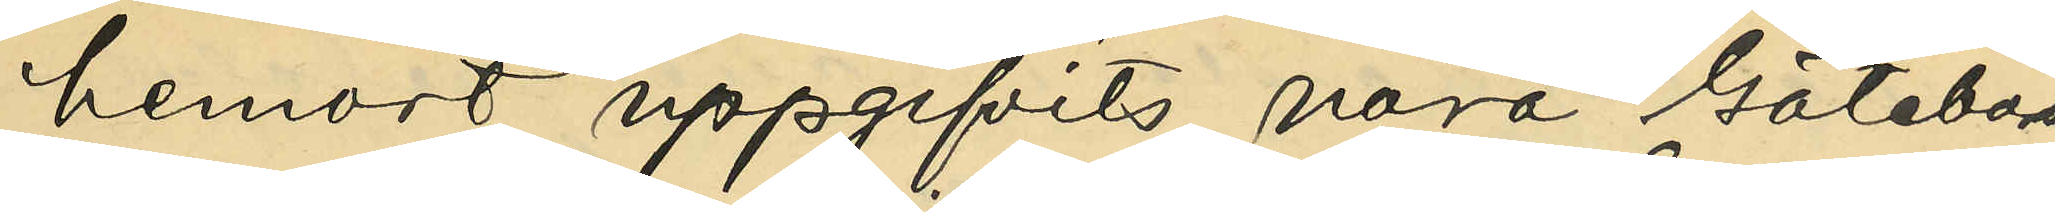hemort uppgifvits vara Göteborg,
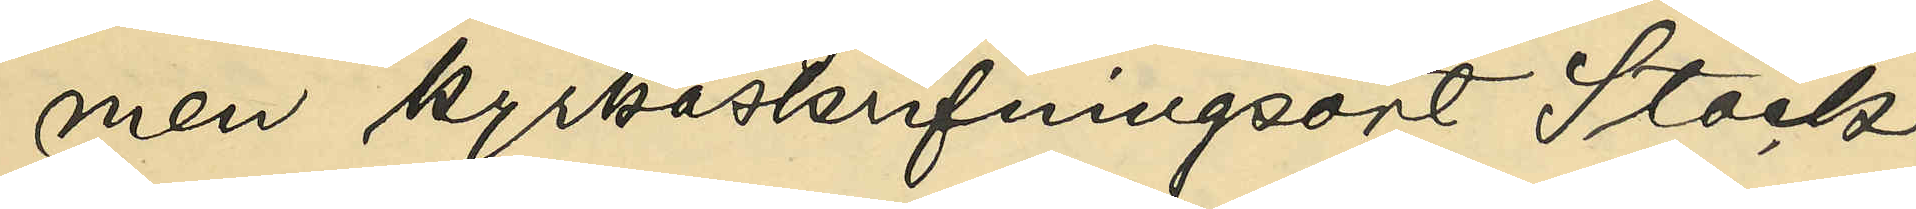men kyrkoskrifningsort Stock¬
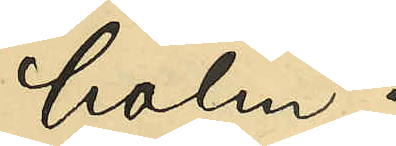holm;
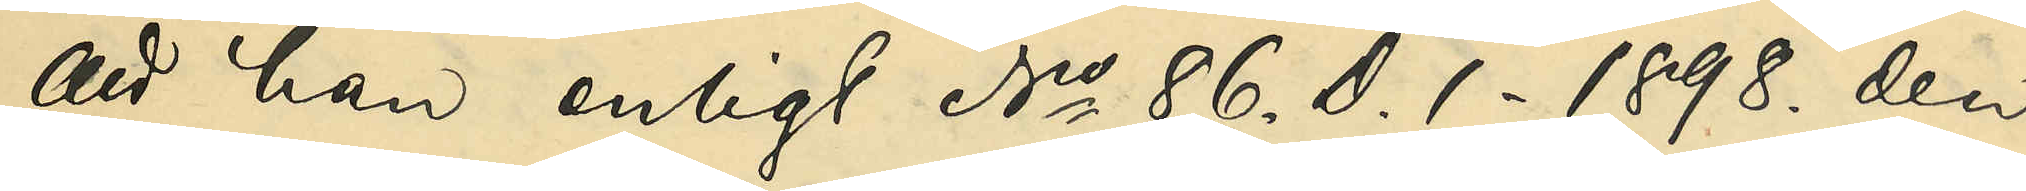att han enligt No 86. D. 1 - 1898. den
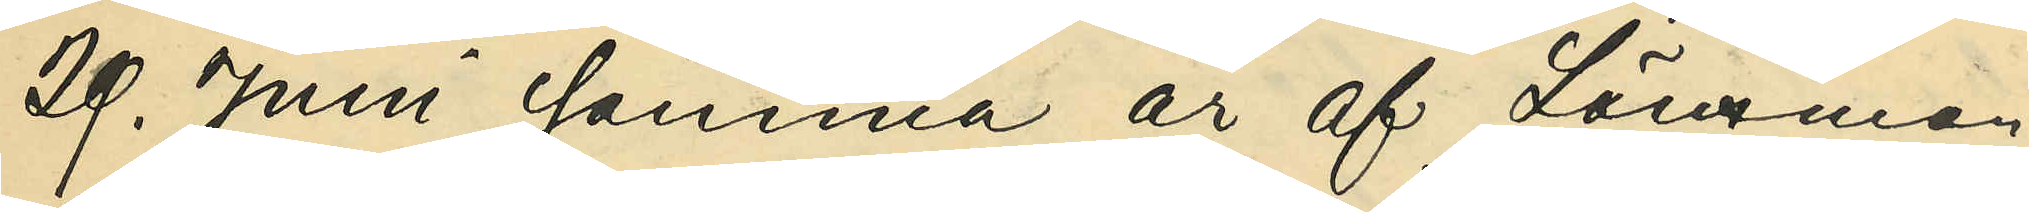29. Juni samma år af Länsman¬
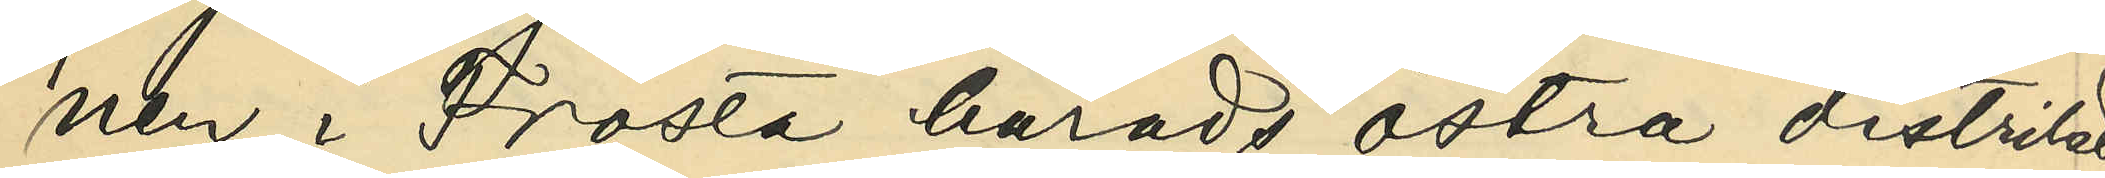nen i Frosta härads östra distrikt
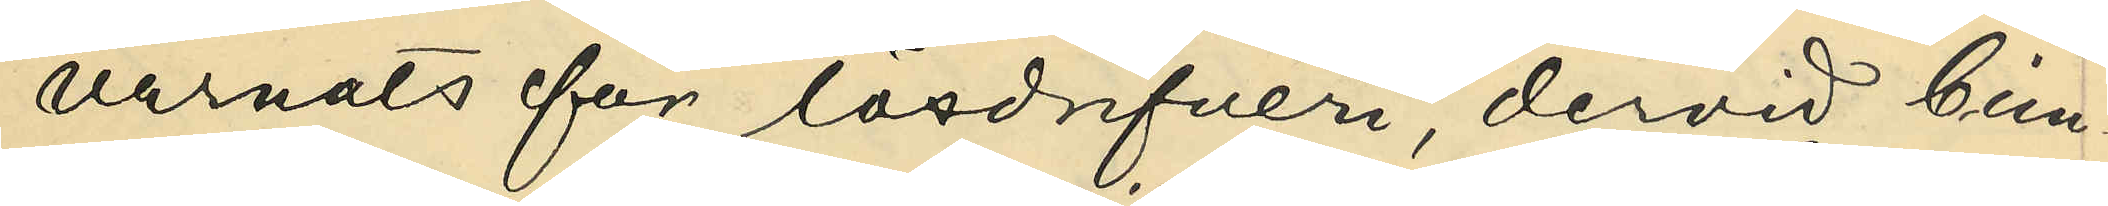varnats för lösdrifveri, dervid Cim¬
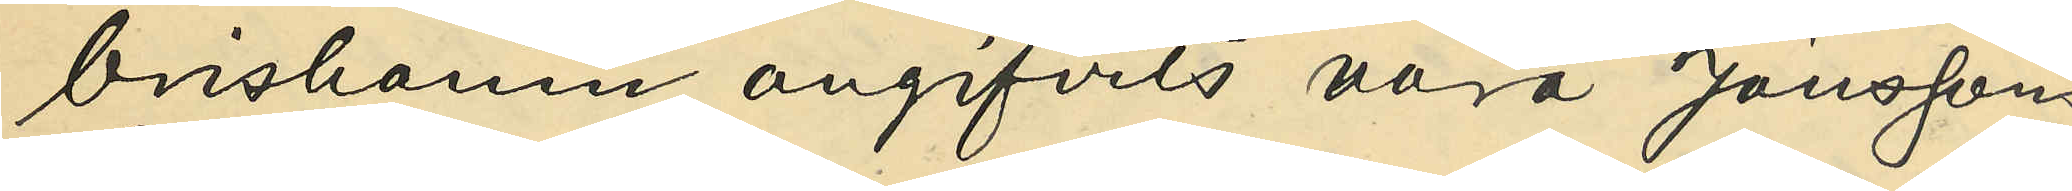brishamn angifvits vara Jönssons
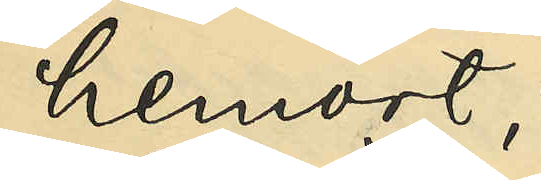hemort;
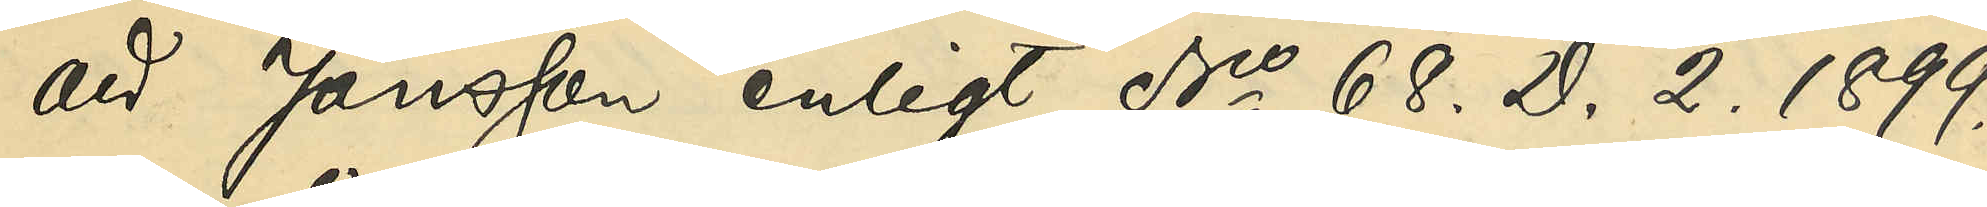att Jönsson enligt No 68. D. 2. 1899.
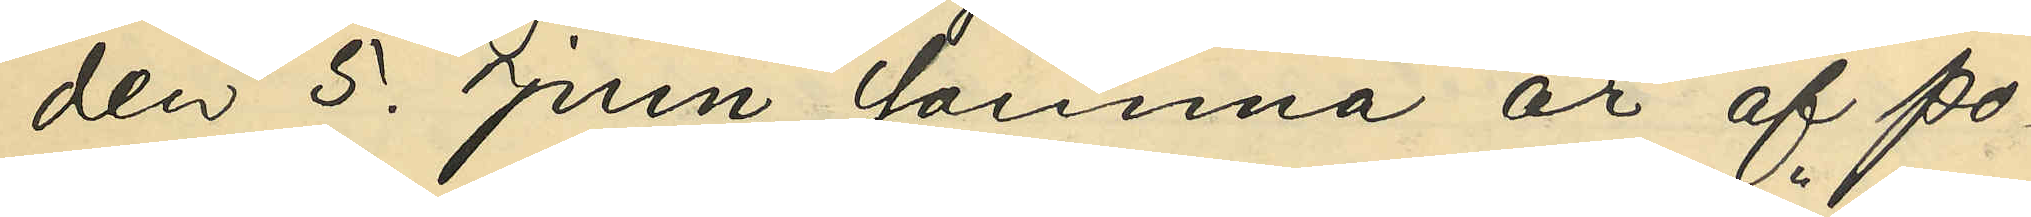den 5. Juni samma år af Po¬
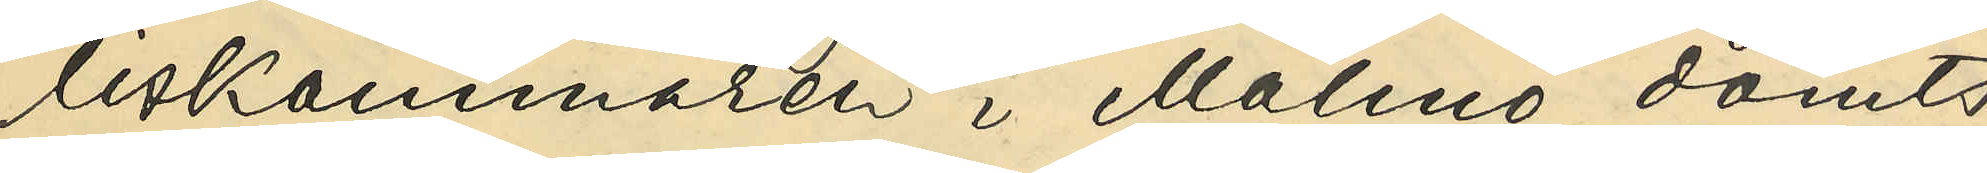liskammaren i Malmö dömts
